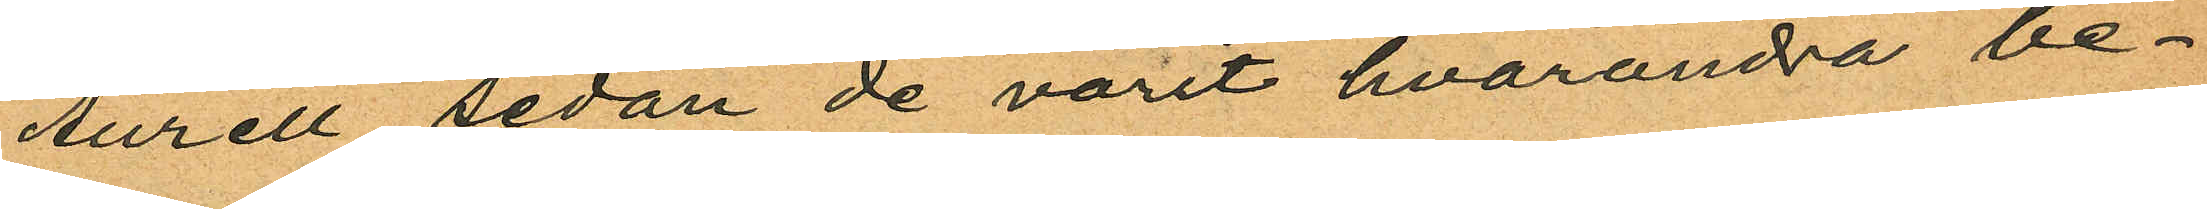Aurell sedan de varit hvarandra be¬
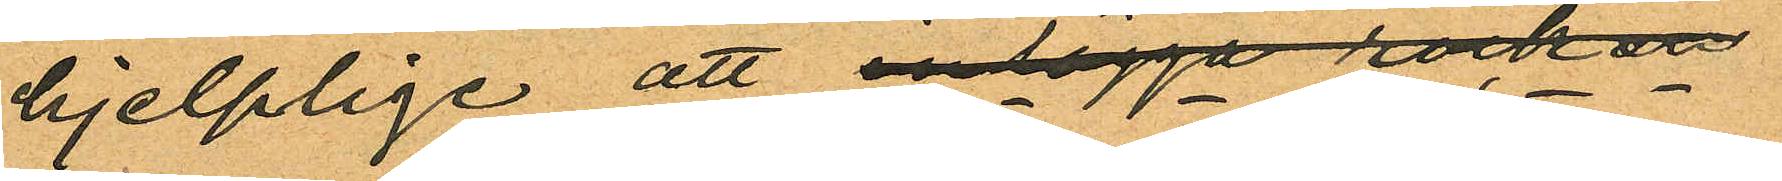hjelplige att inlägga rocken
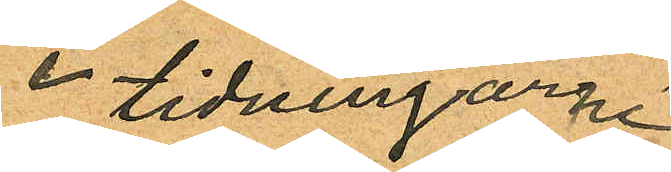i tidningarne
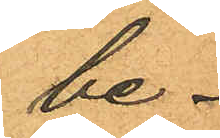be¬
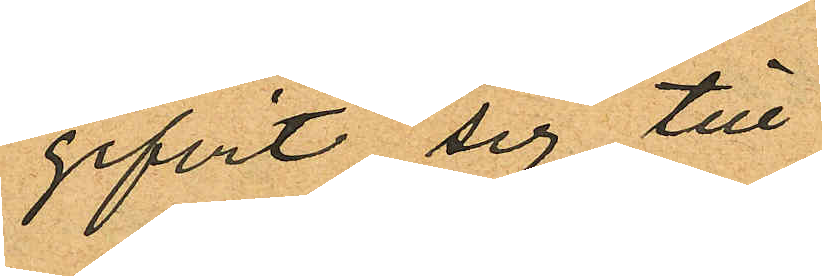gifvit sig till
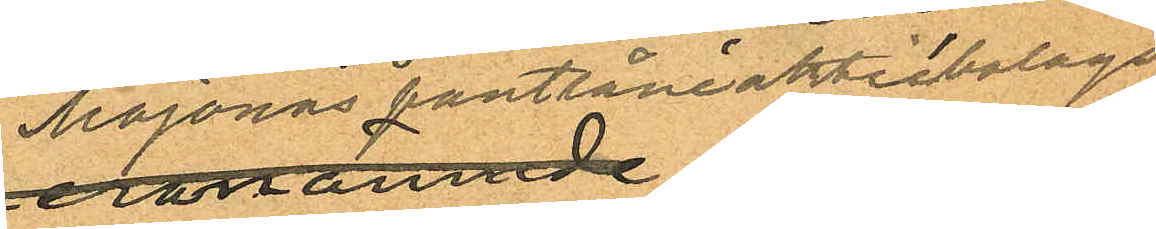Majornas pantlåneaktiebolags
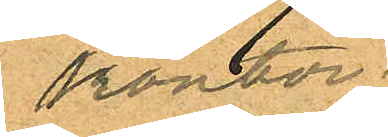kontor.
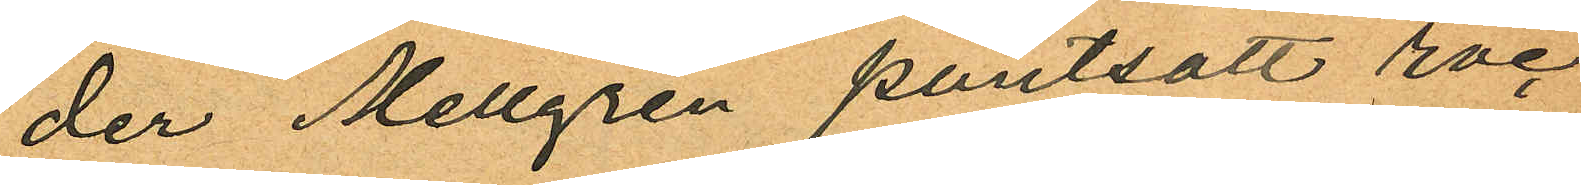der Mellgren pantsatt roc¬
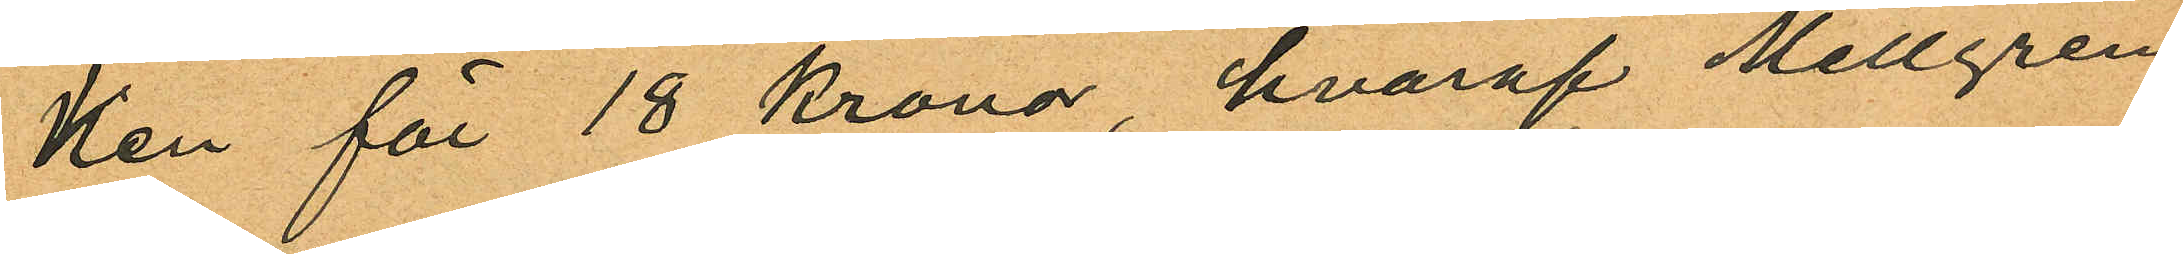ken för 18 kronor, hvaraf Mellgren
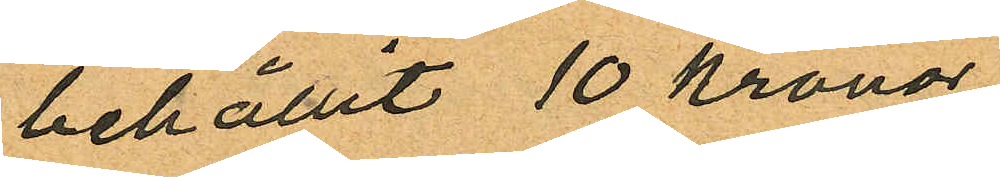behållit 10 kronor
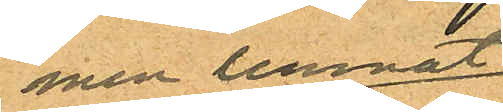men lemnat
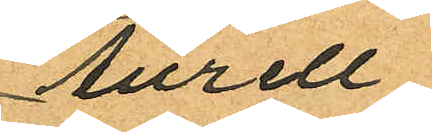Aurell
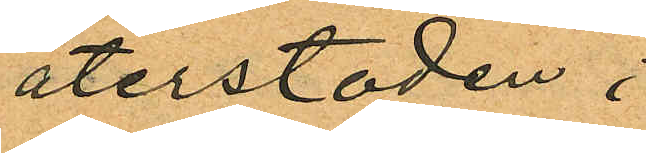återstoden;
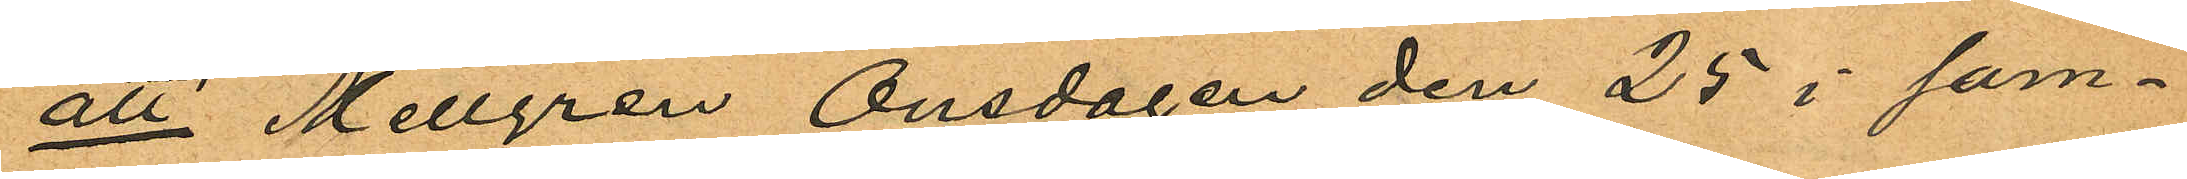att Mellgren Onsdagen den 25 i sam¬
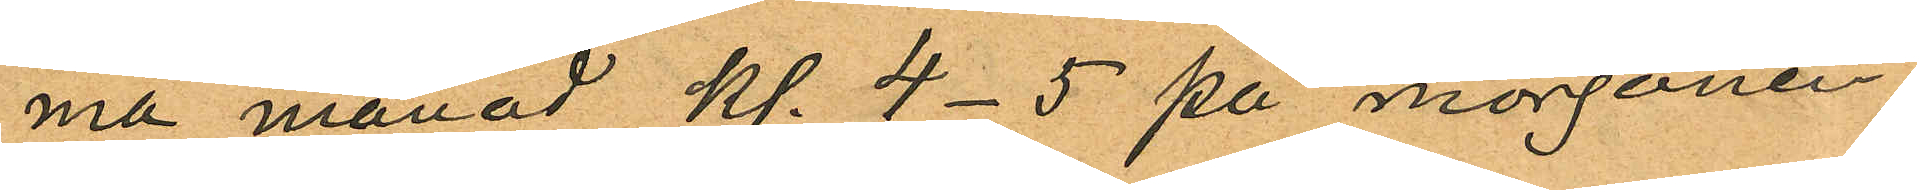ma månad kl. 4-5 på morgonen
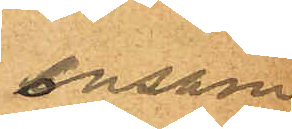ensam
